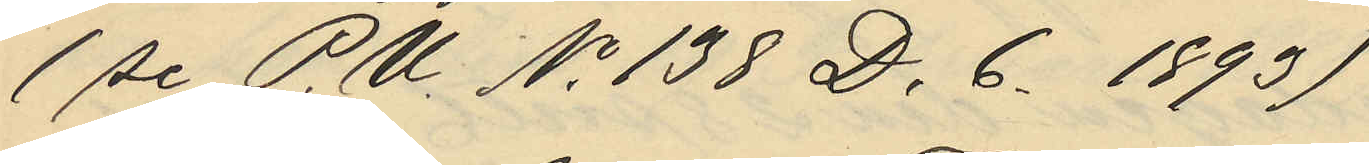(se P.U. No 138 D.6. 1893)
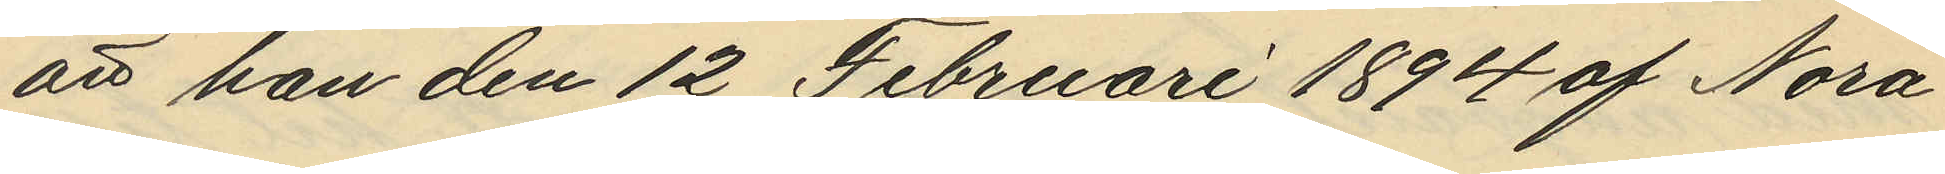att han den 12 Februari 1894 af Nora
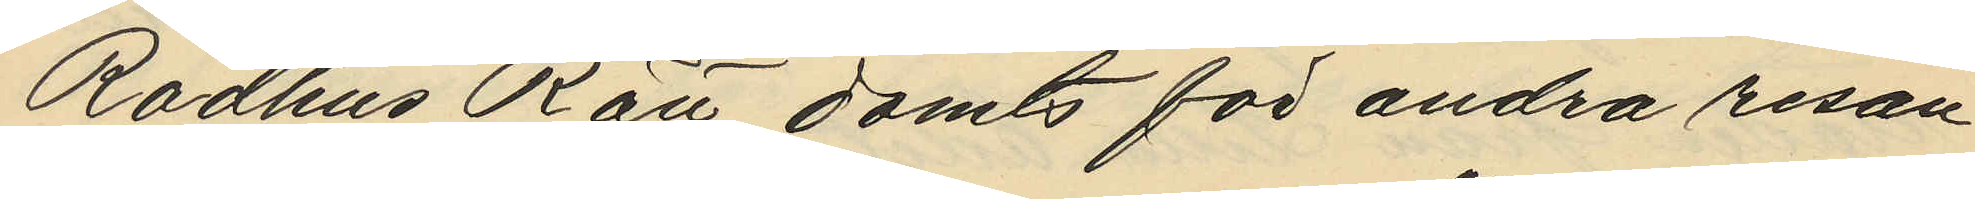Rådhus Rätt dömts för andra resan
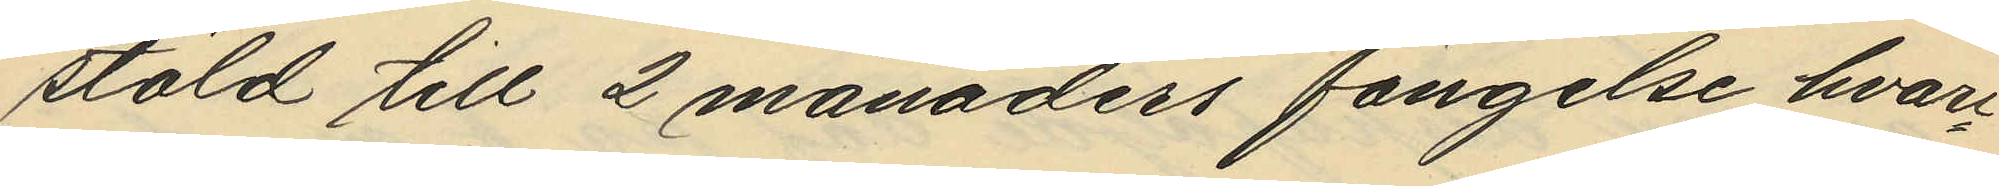stöld till 2 månaders fängelse hvar¬
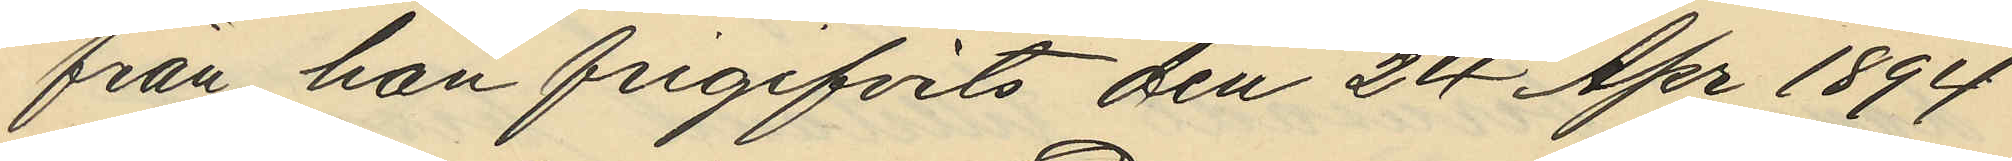från han frigifvits den 24 Apr 1894
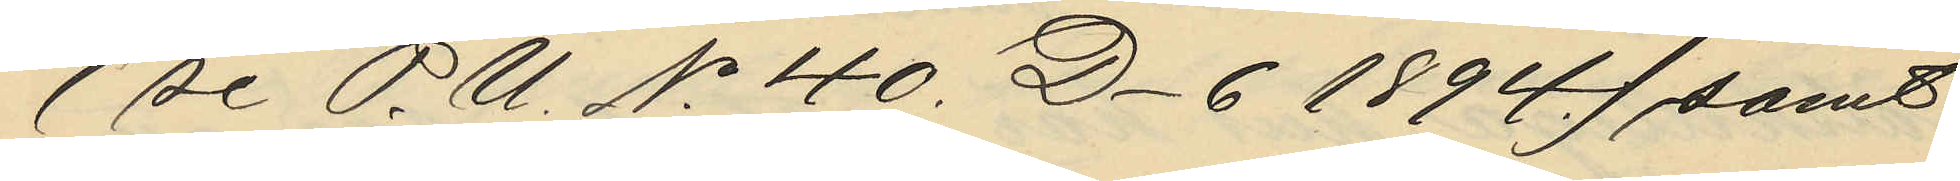(se P.U. No 40. D6 1894) samt
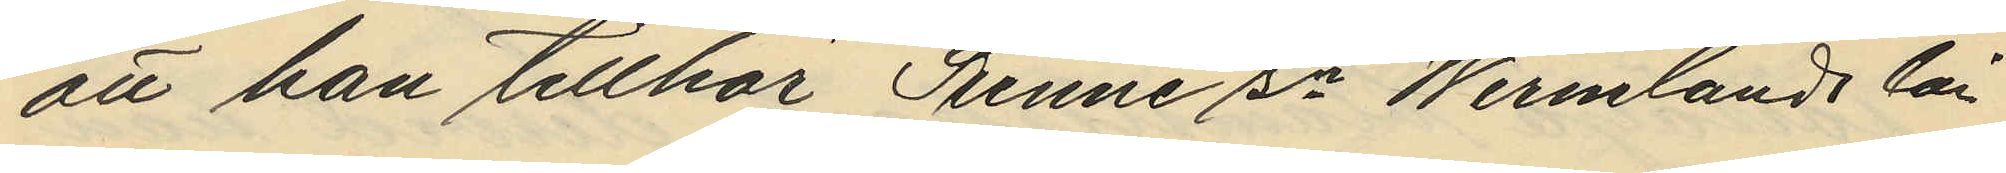att han tillhör Sunne sn Wermlands län
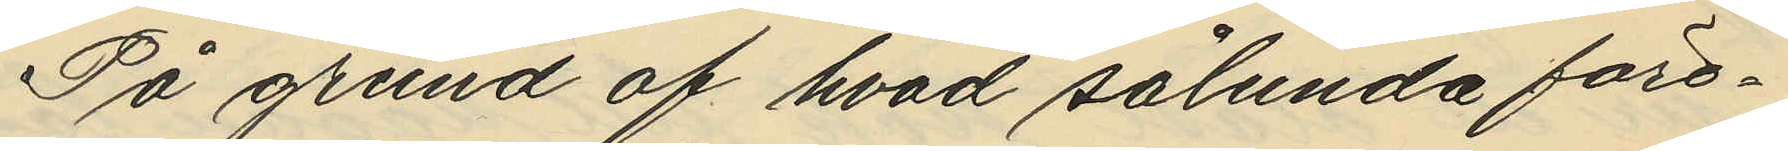På grund af hvad sålunda före¬
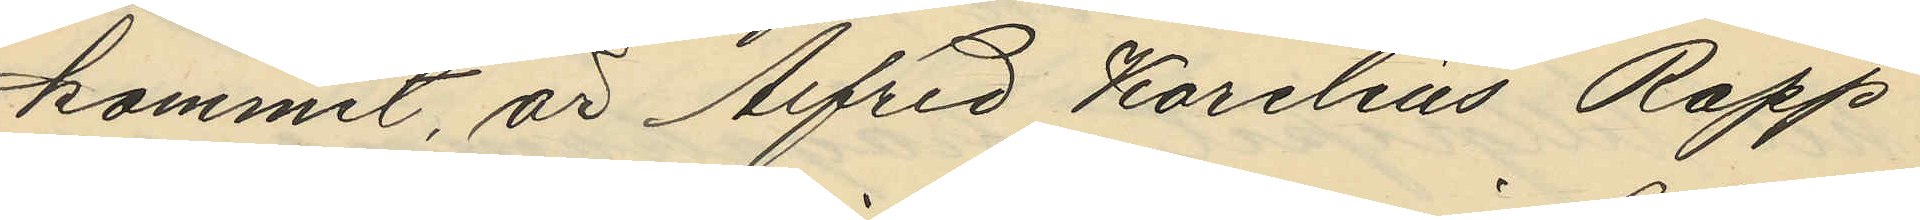kommit, är Alfred Karelius Rapp
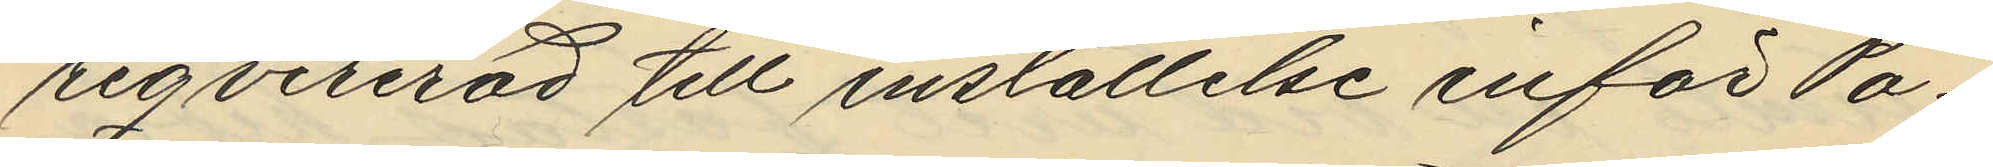reqvirerad till inställelse inför Po¬
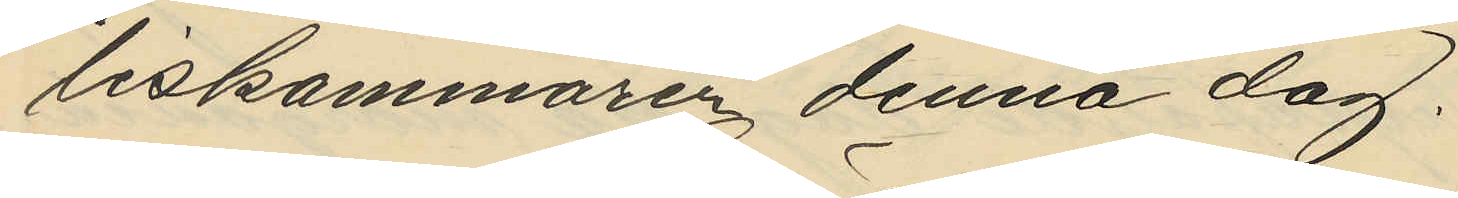liskammarer denna dag.
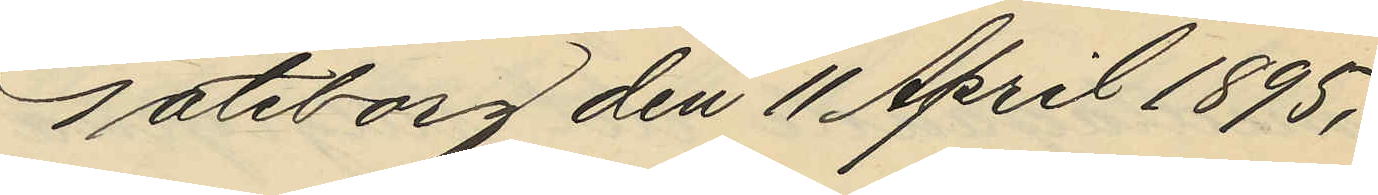Göteborg den 11 April 1895.
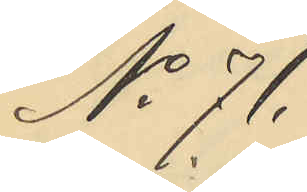No 71.
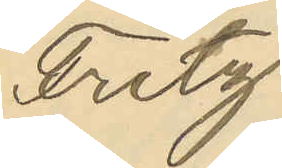Fritz
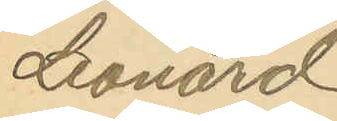Leonard
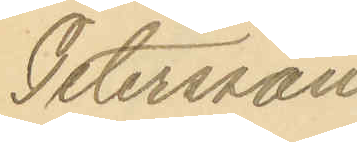Petersson
